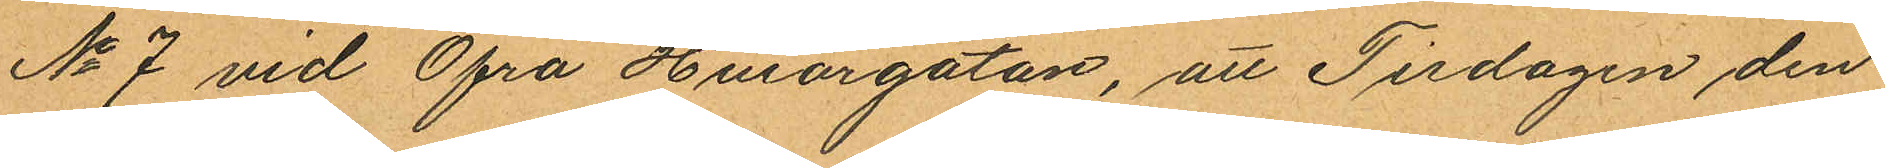No 7 vid Öfra Husargatan, att Tisdagen den
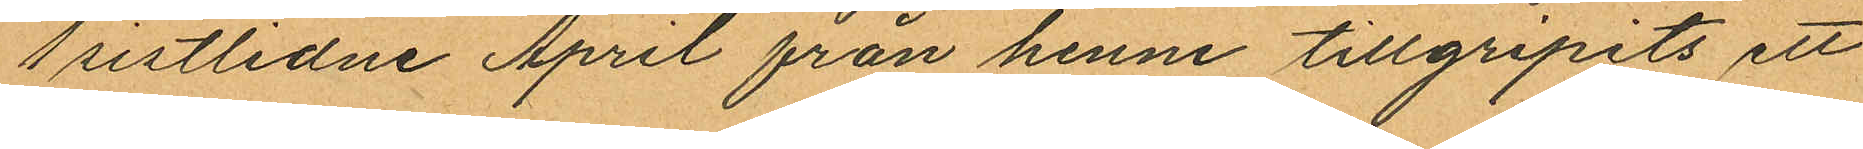1 sistlidne April från henne tillgripits ett
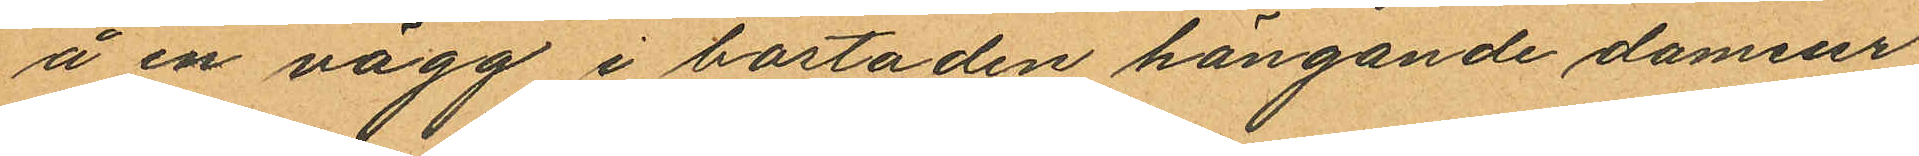å en vägg i bostaden hängande dameur
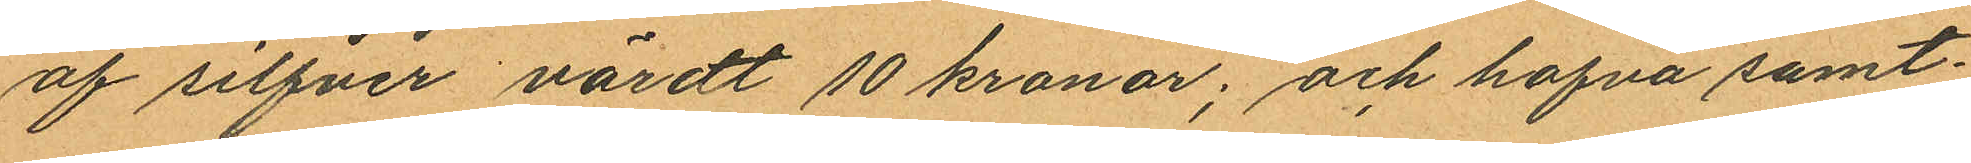af silfver värdt 10 kronor; och hafva samt¬
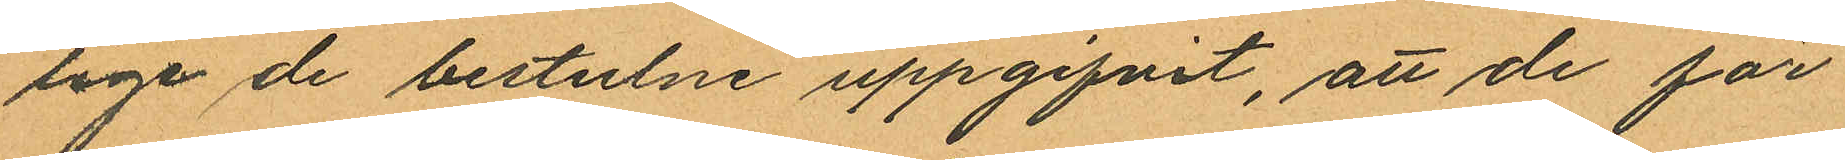lige de bestulne uppgifvit, att de för
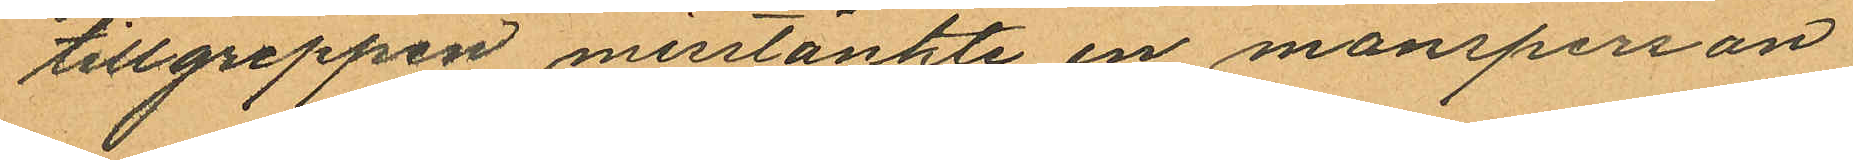tillgreppen misstänkte en mansperson
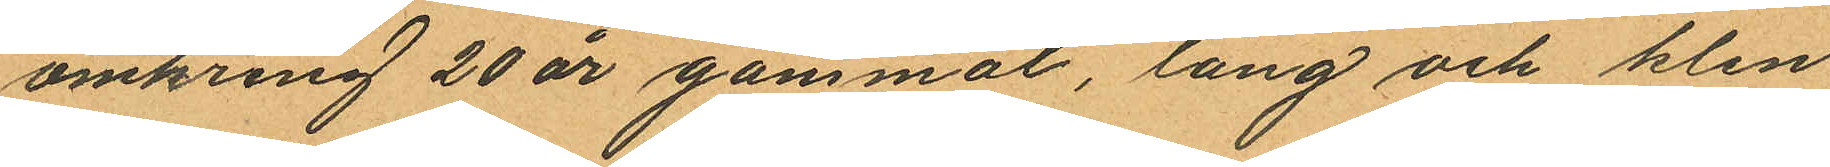omkring 20 år gammal, lång och klen
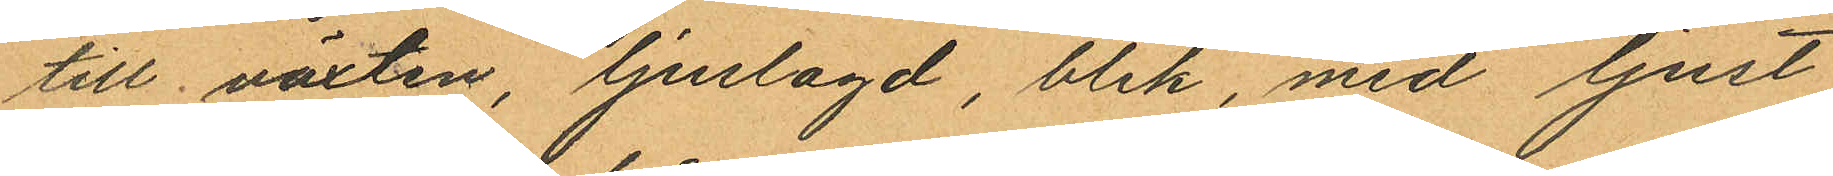till växten, ljuslagd, blek, med ljust
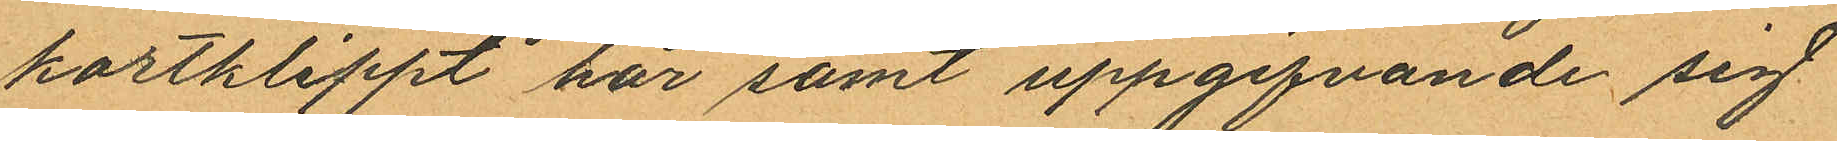kortklippt hår samt uppgifvande sig
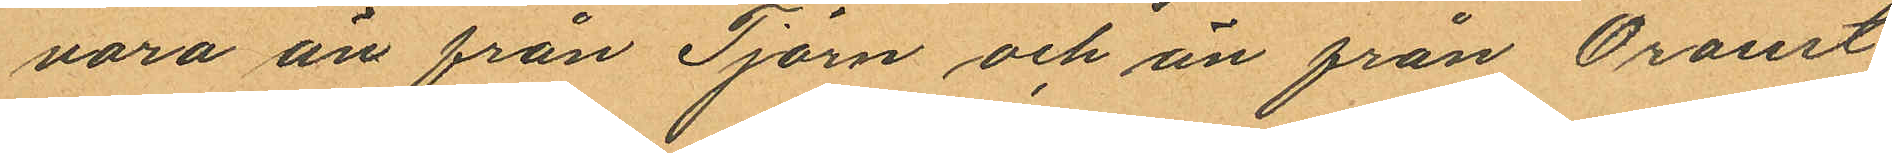vara än från Tjörn och än från Oroust
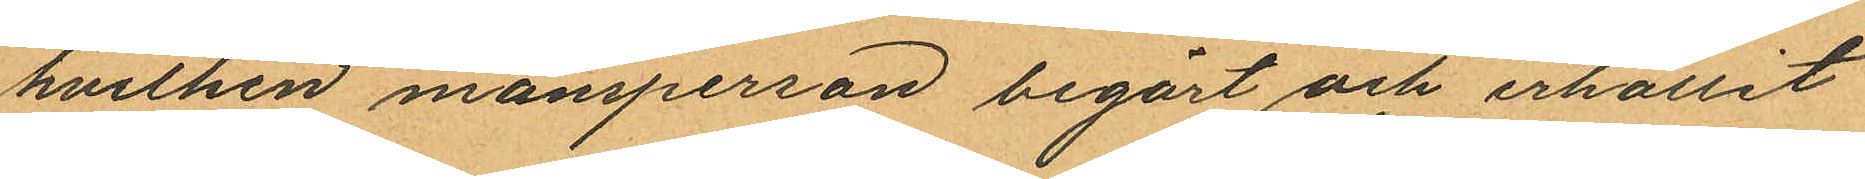hvilken mansperson begärt och erhållit
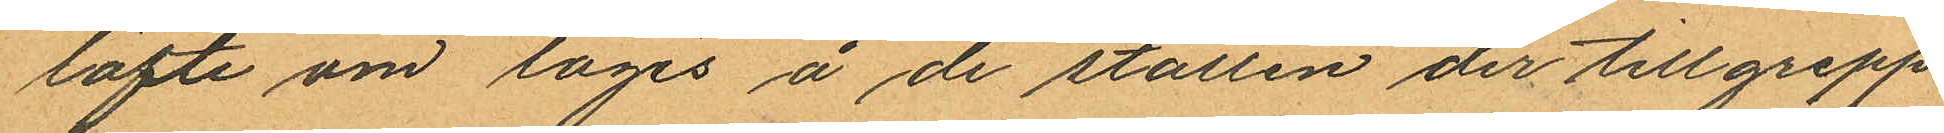löfte om logis å de ställen der tillgrepp
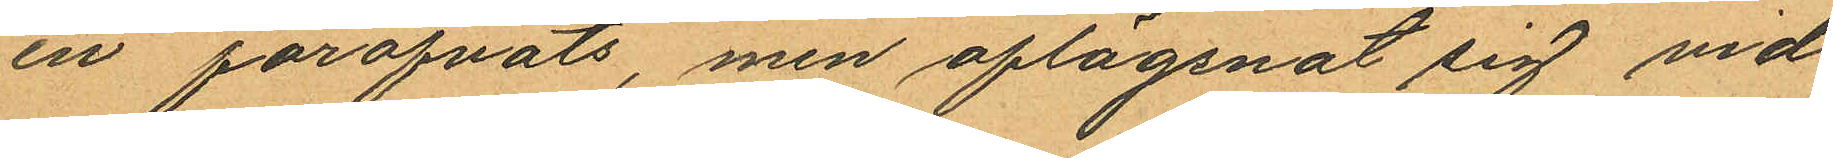en föröfvats, men aflägsnat sig vid
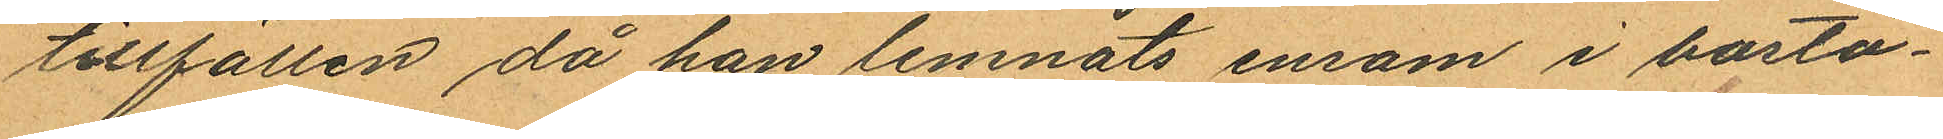tillfällen då han lemnats ensam i bostä¬
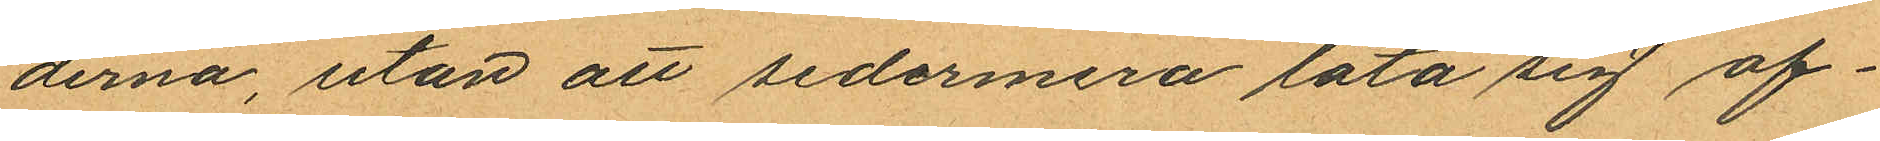derna, utan att sedermera låta sig af¬
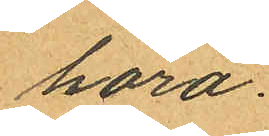höra.
